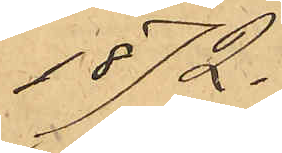1872.
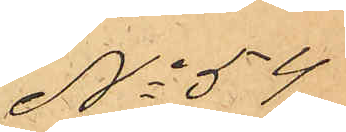No 54
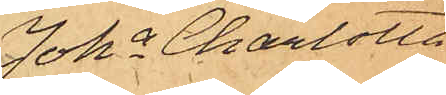Joha Charlotta
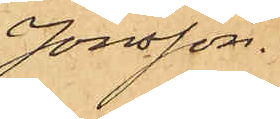Jonsson.
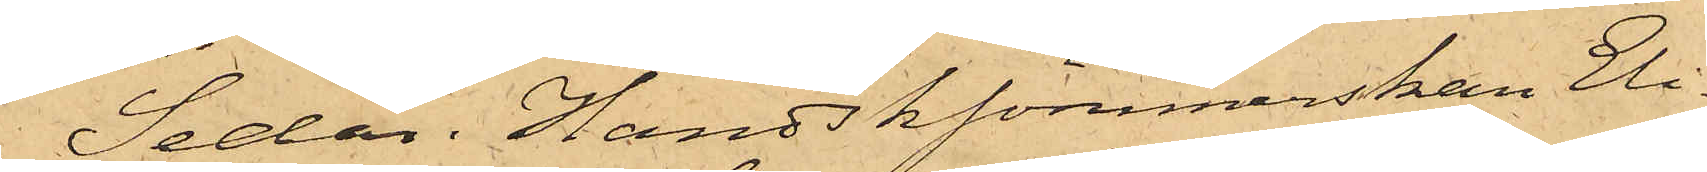Sedan Handsksömmerskan Eli¬
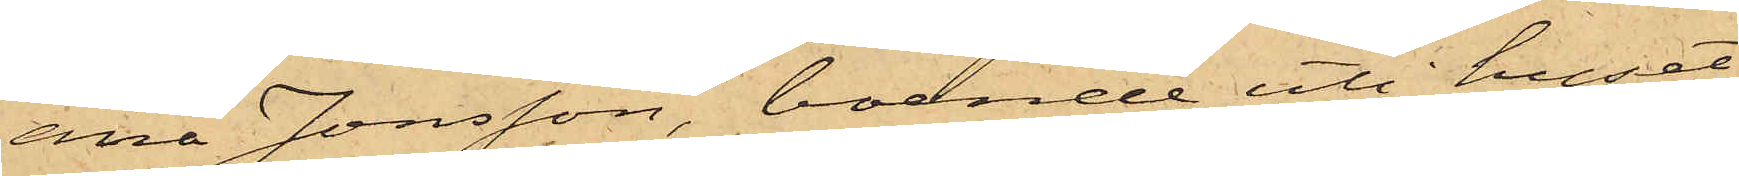ana Jonsson, boende uti huset
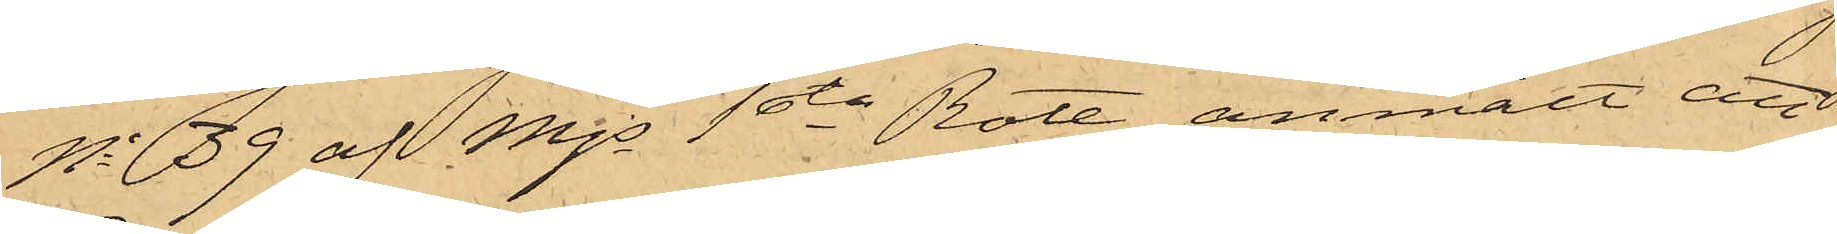No 39 af Mjs 1sta Rote, anmält att
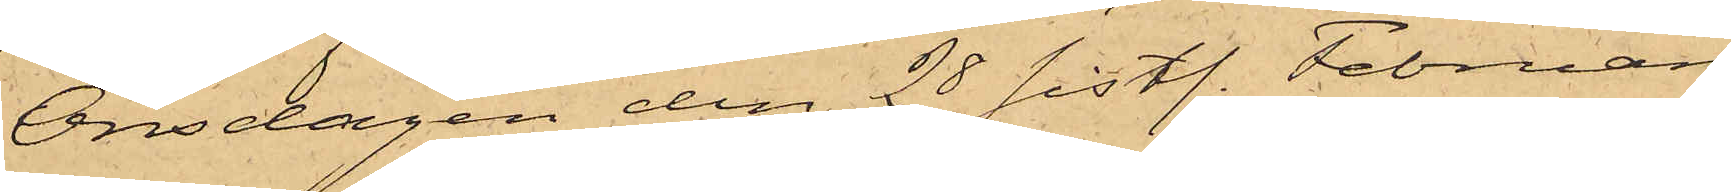Onsdagen den 28 sistl. Februari
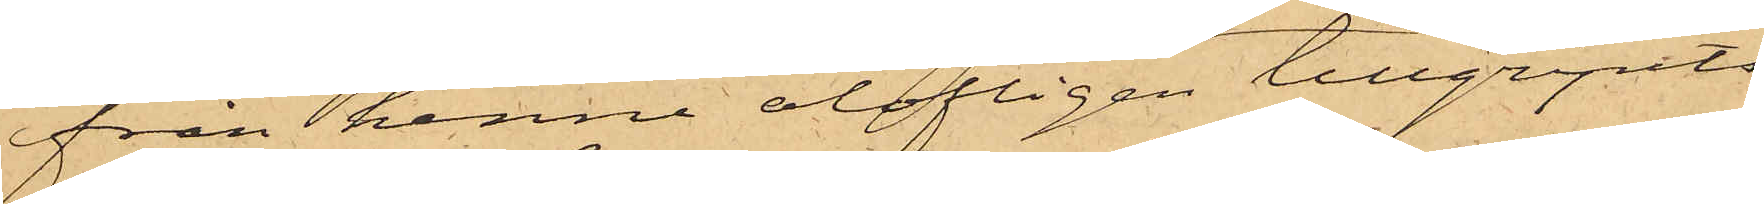från henne olofligen tillgripits
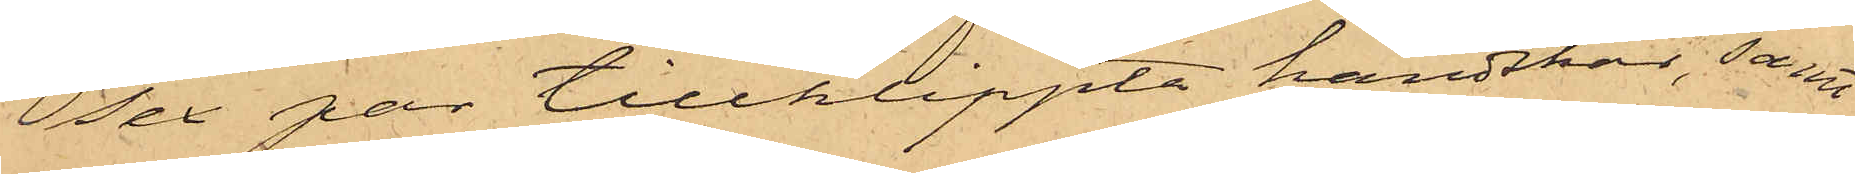sex par tillklippta handskar, samt
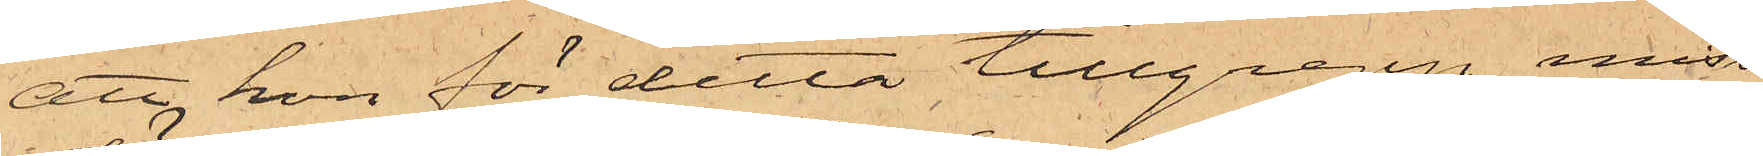att hon för detta tillgrepp miss¬
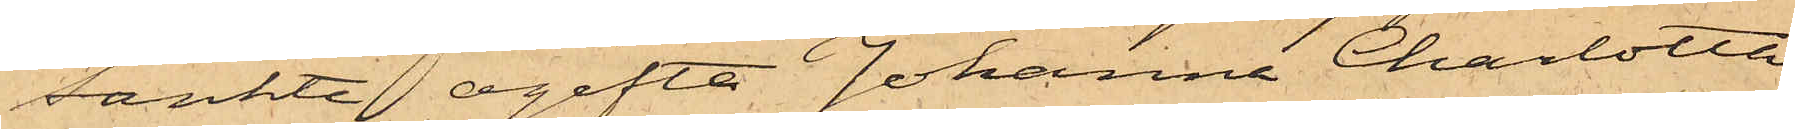tänkte ogifta Johanna Charlotta
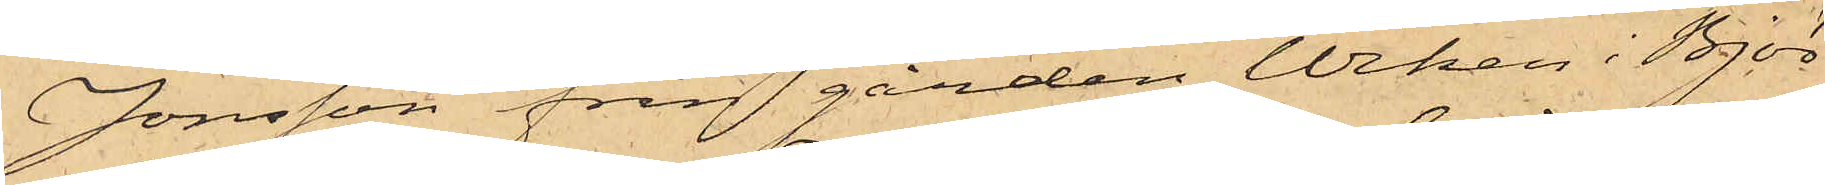Jonsson från gården Wiken i Björ¬
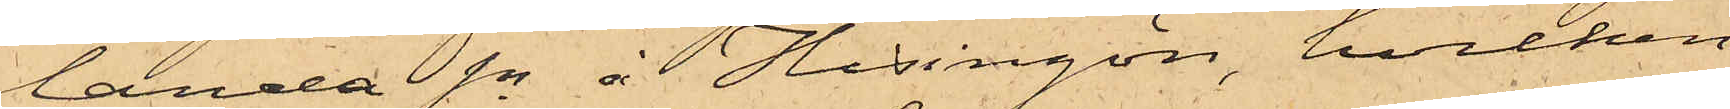landa Sn å Hisingön, hvilken
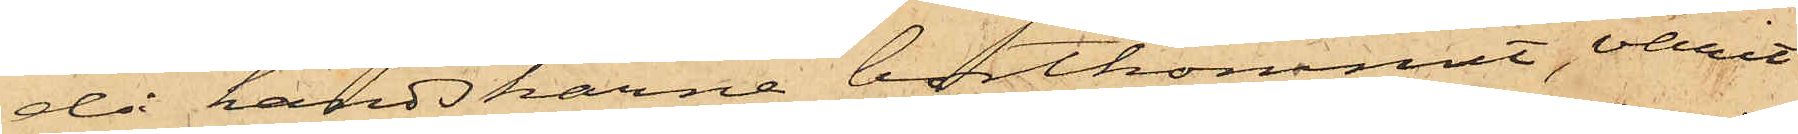då handskarne bortkommit, varit
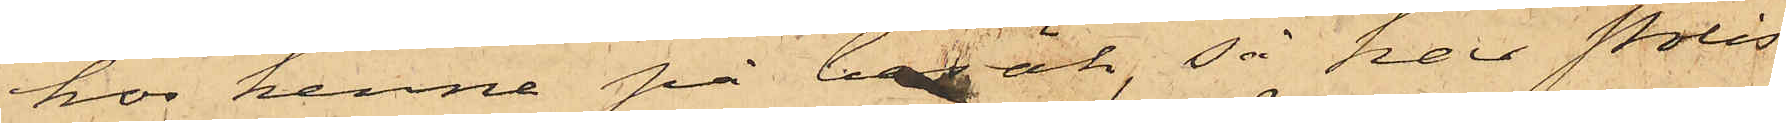hos henne på besök, så har Polis¬
